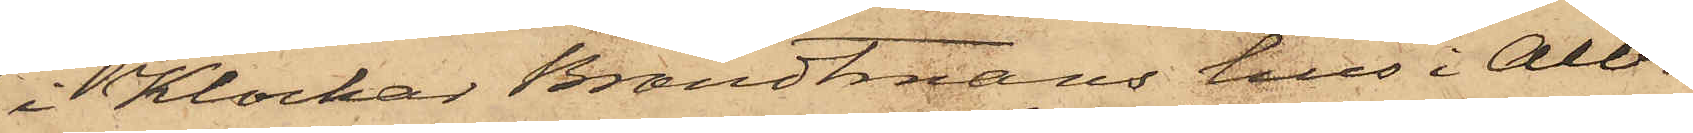i Klockar Brandtmans hus i Albo¬
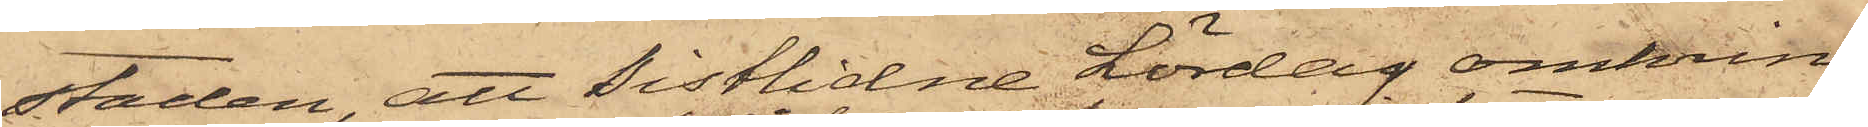staden, att Sistlidne Lördag omkring
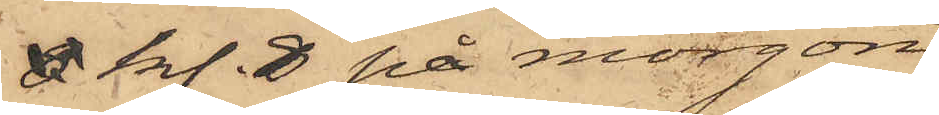8 kl. 8 på morgon
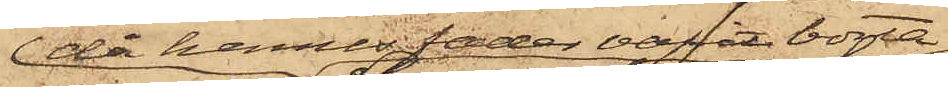då hennes fader varit borta
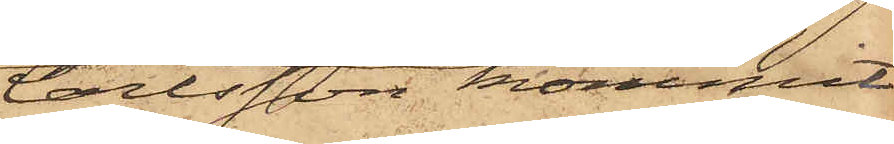Carlsson kommit
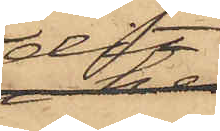dit
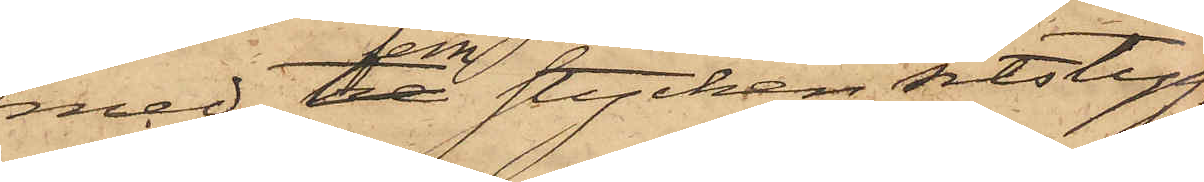med fem stycken sitstyg,
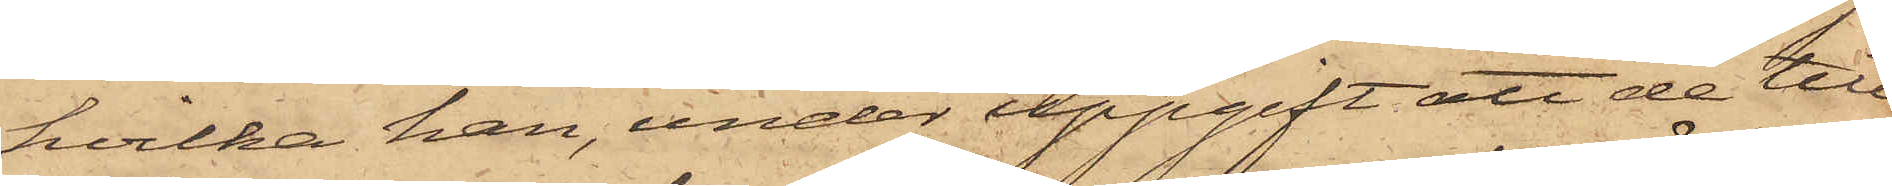hvilka han, under uppgift att de till¬
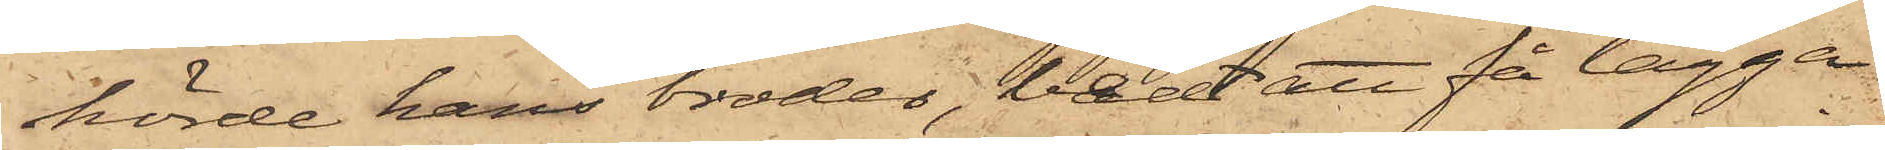hörde hans broder, bedt att få lägga
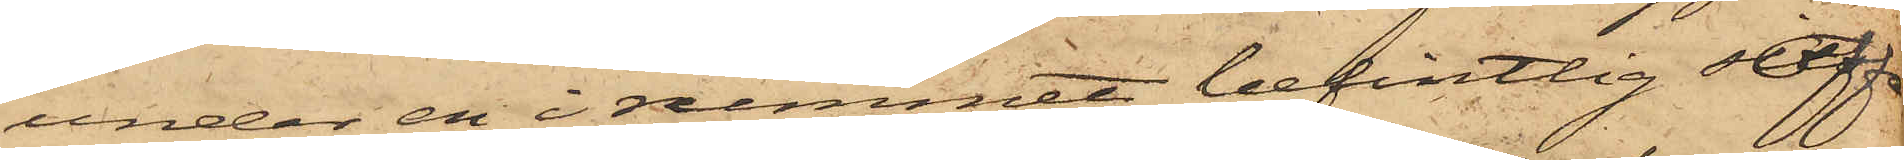under en i rummet befintlig soffa
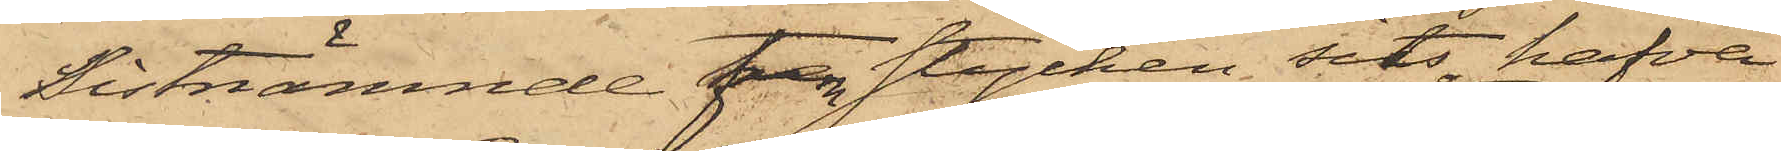Sistnämnde fem stycken sits hafva
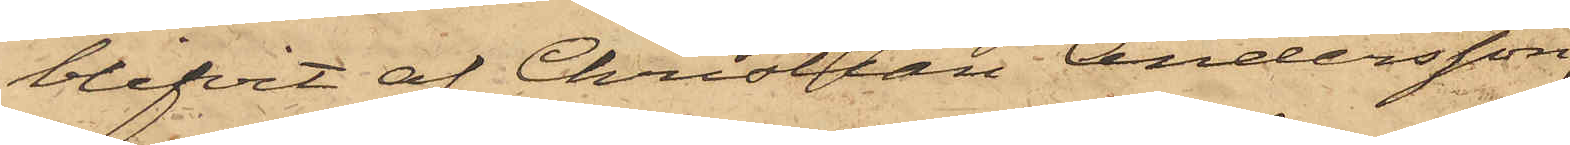blifvit af Christian Andersson,
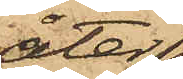åter¬
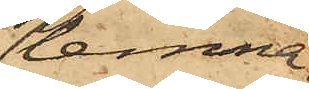lemna¬
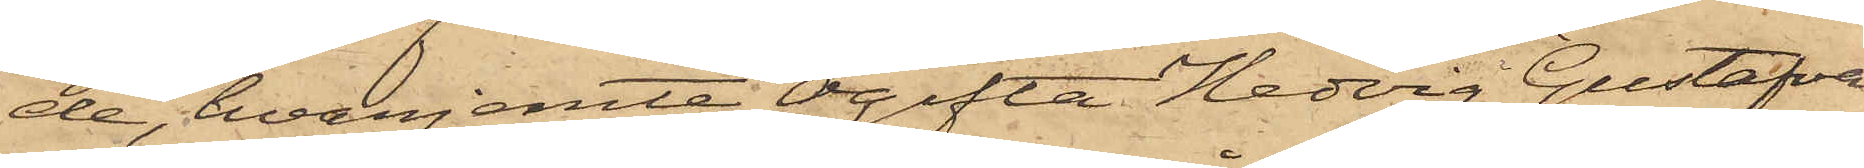de, hvarjemte Ogifta Hedvig Gustafva
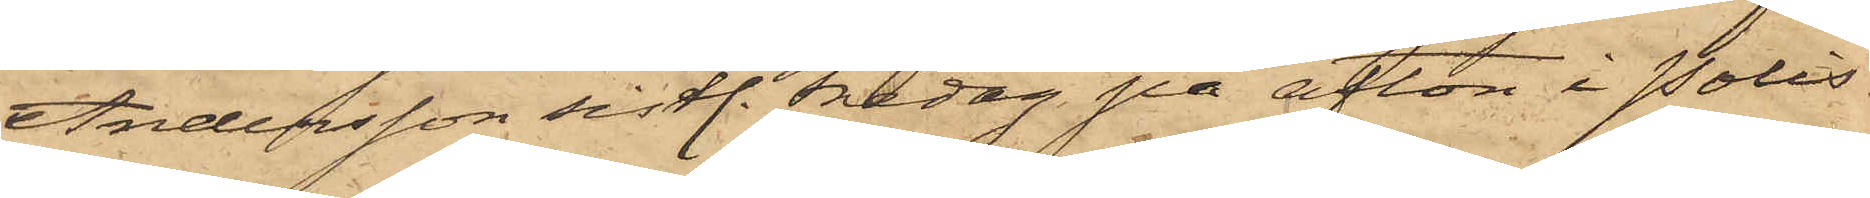Andersson sistl. Fredag på afton i Polis¬
